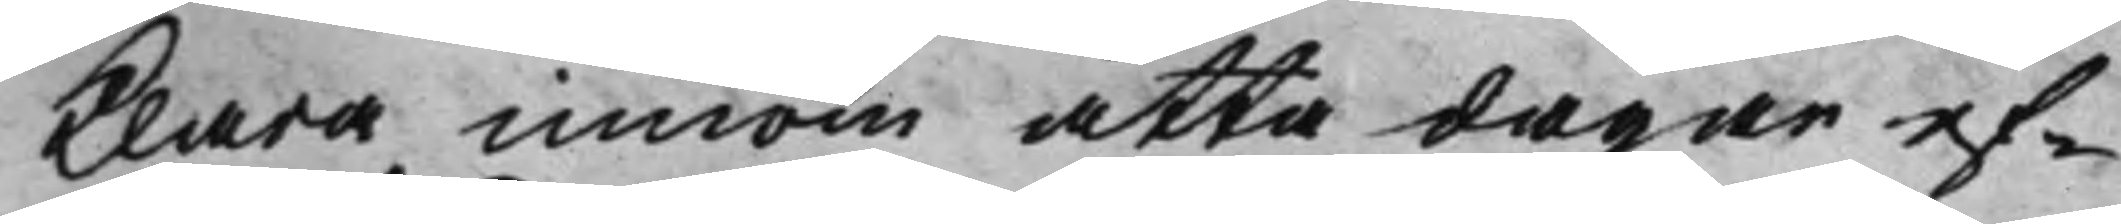klara innom åtta dagar ef¬
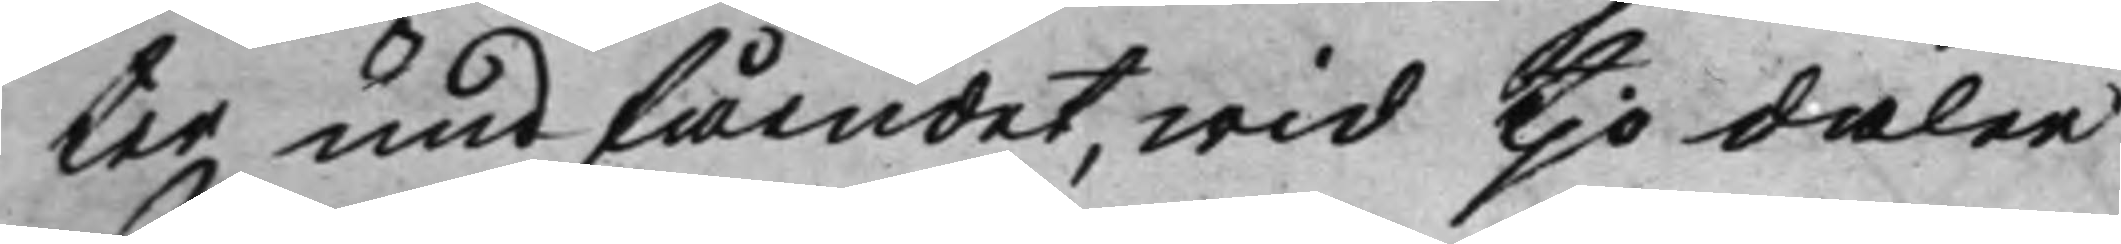ter undfåendet, wid tjo daler
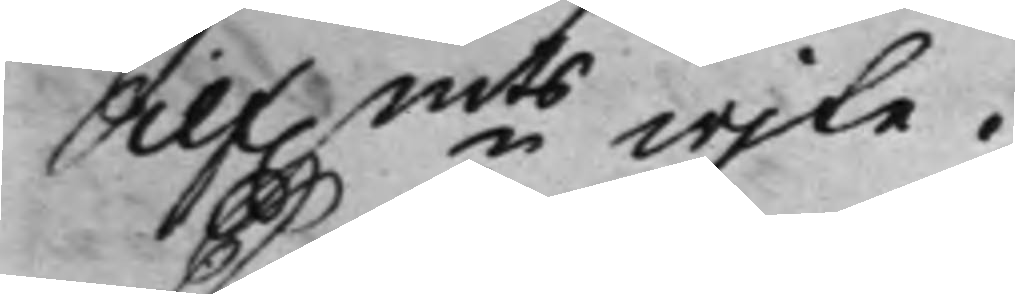Silf.mts wjte. 
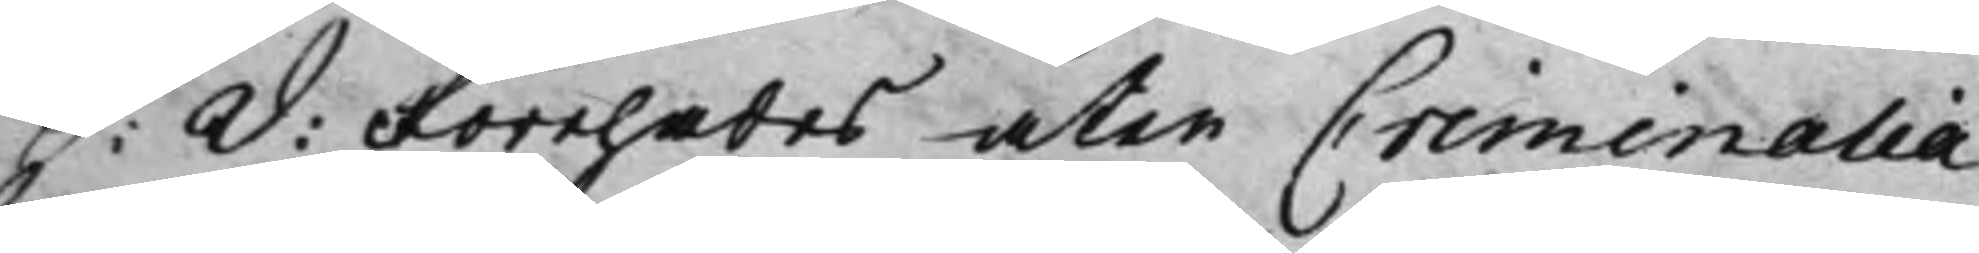S: d: Förehades åter Criminalia 
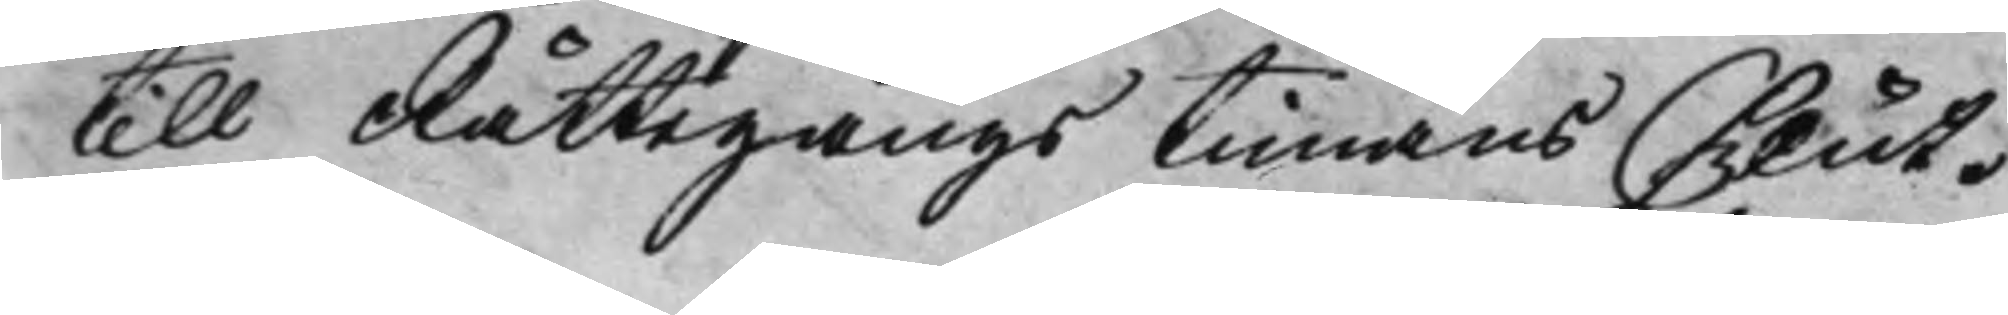till Rättegångs timans slut.
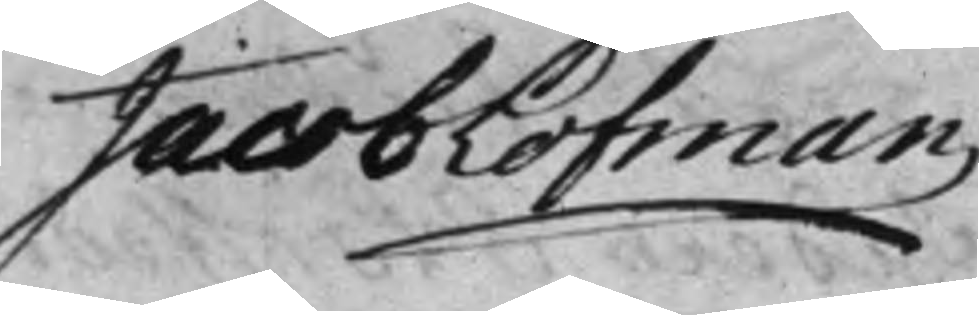Jacob Löfman
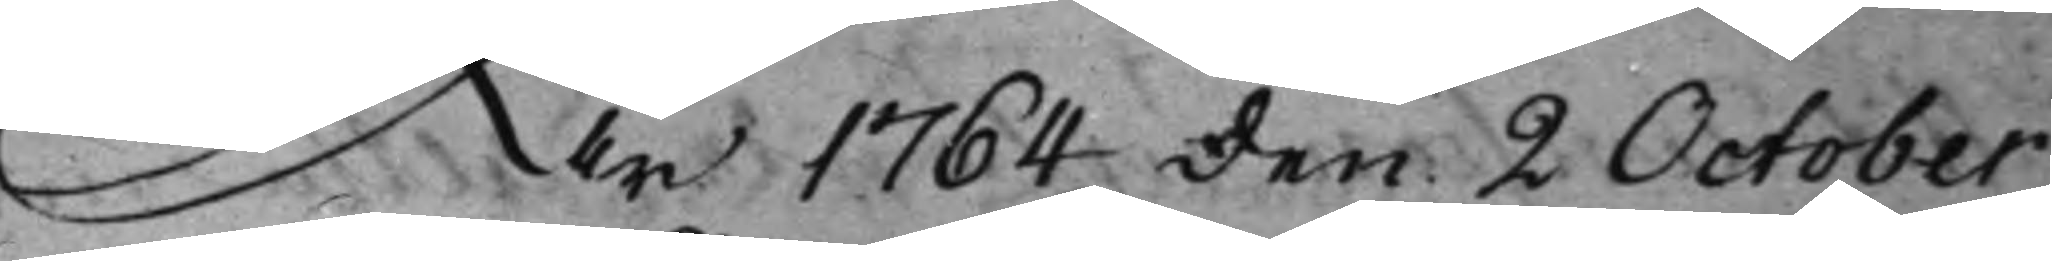År 1764 den 2 October
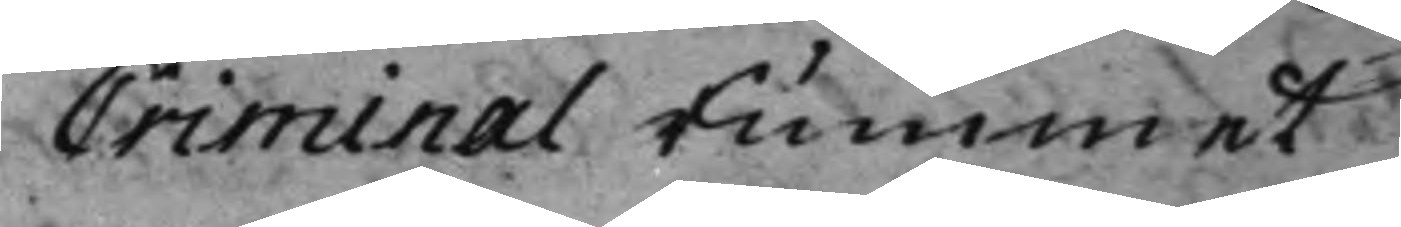Criminal Rummet
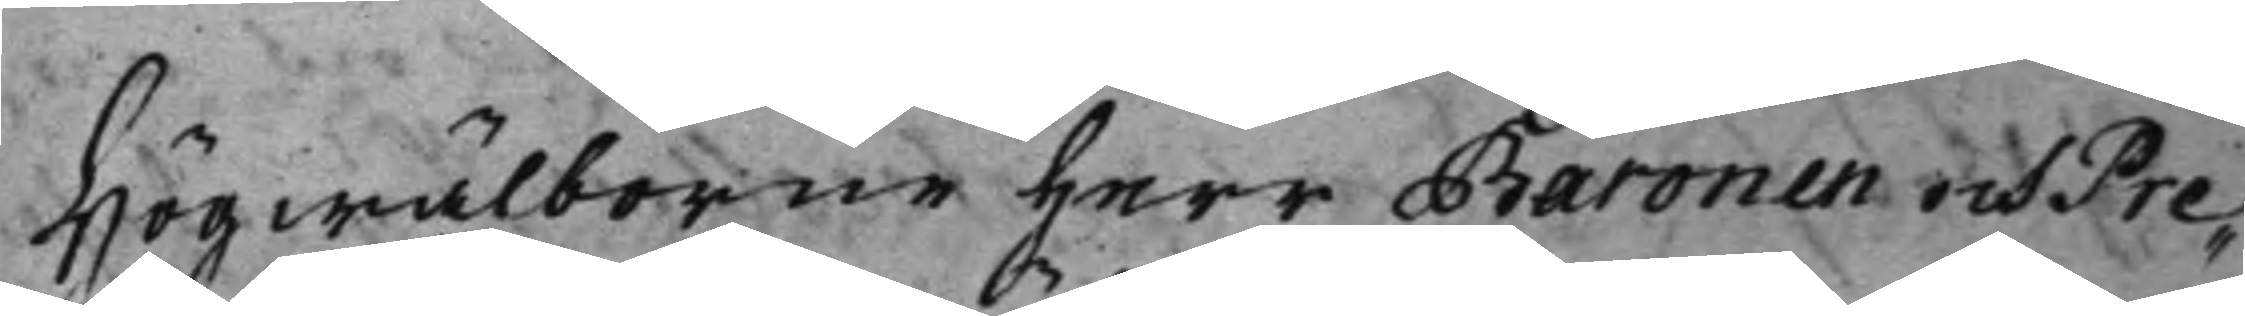Högwälborne Herr Baronen och Pre¬
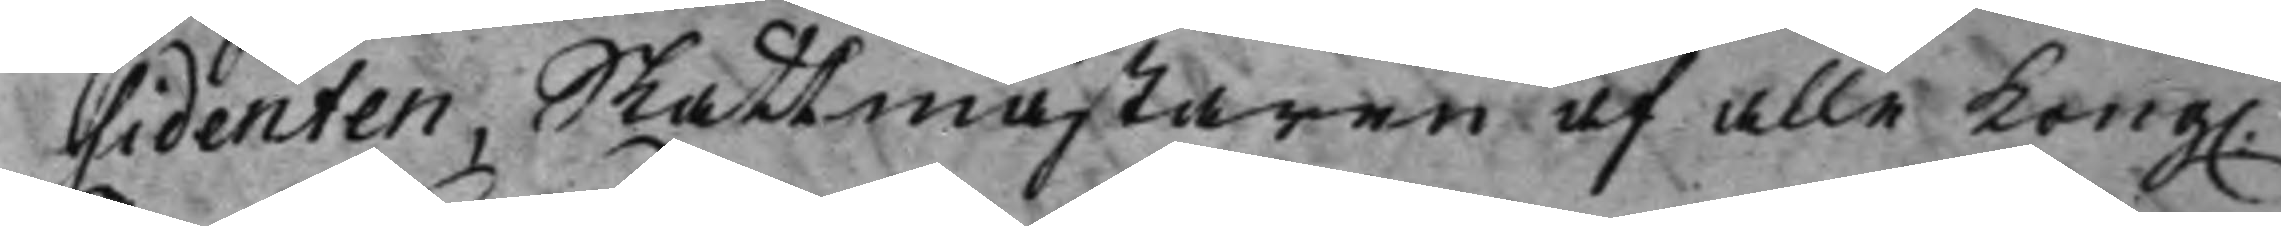sidenten, Skattmästaren af alle Kong. 
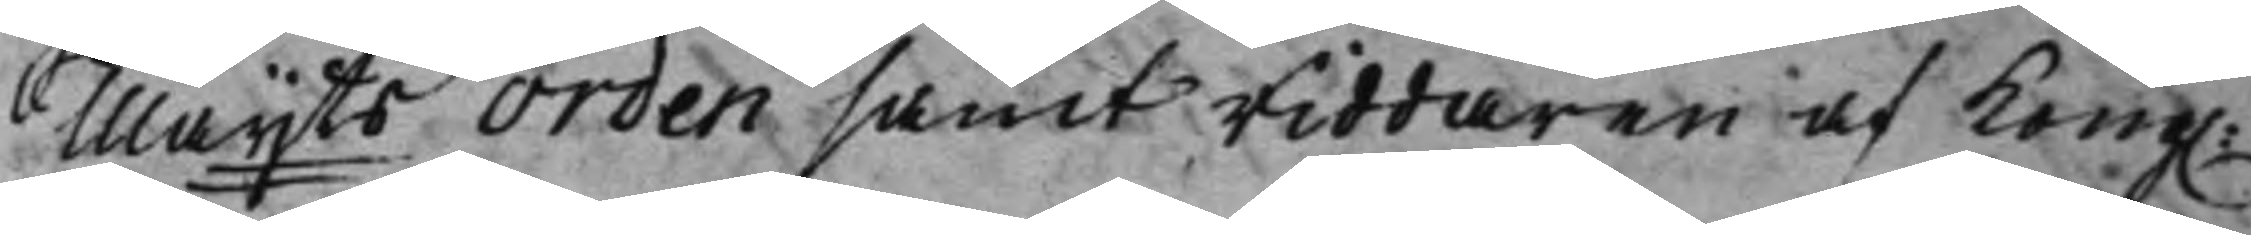Maijts Orden samt Riddaren af Kong. 
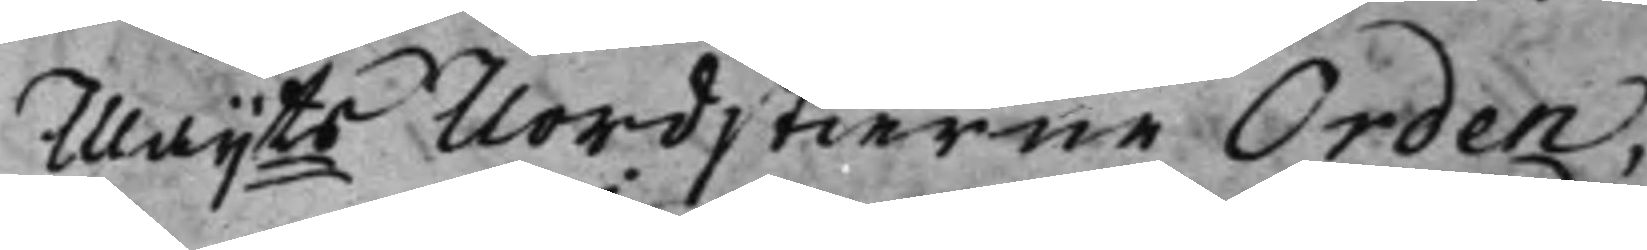Maijts Nordstierne Orden, 
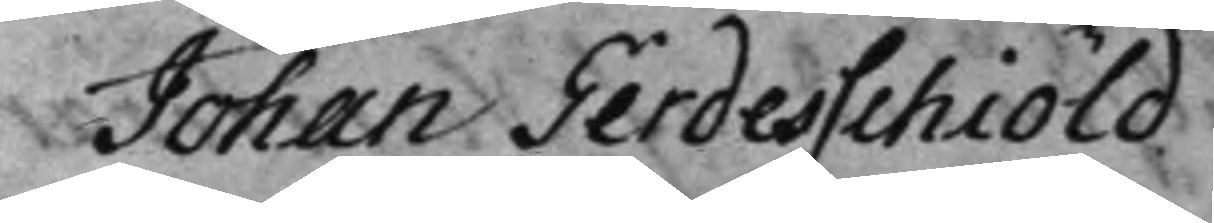Johan Gerdesschiöld
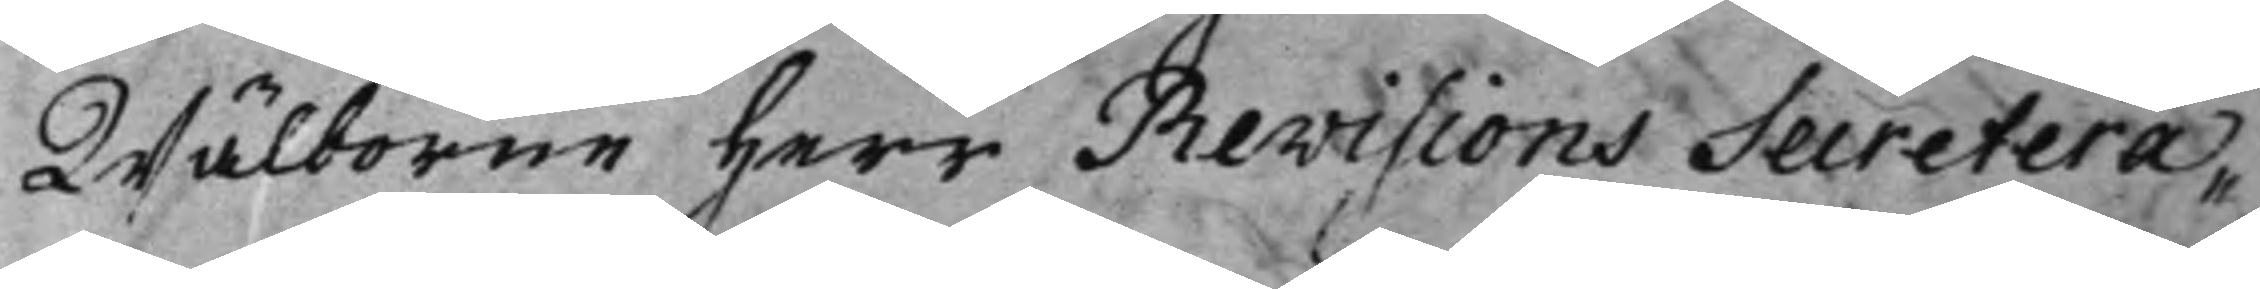Wälborne Herr Revisions Secretera¬
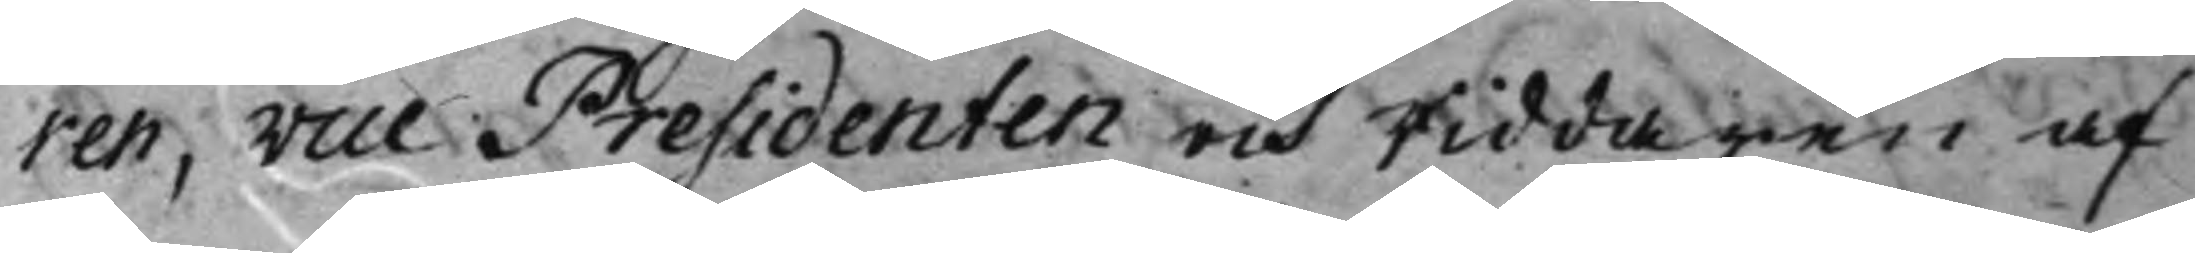ren, Vice Presidenten och Riddaren af
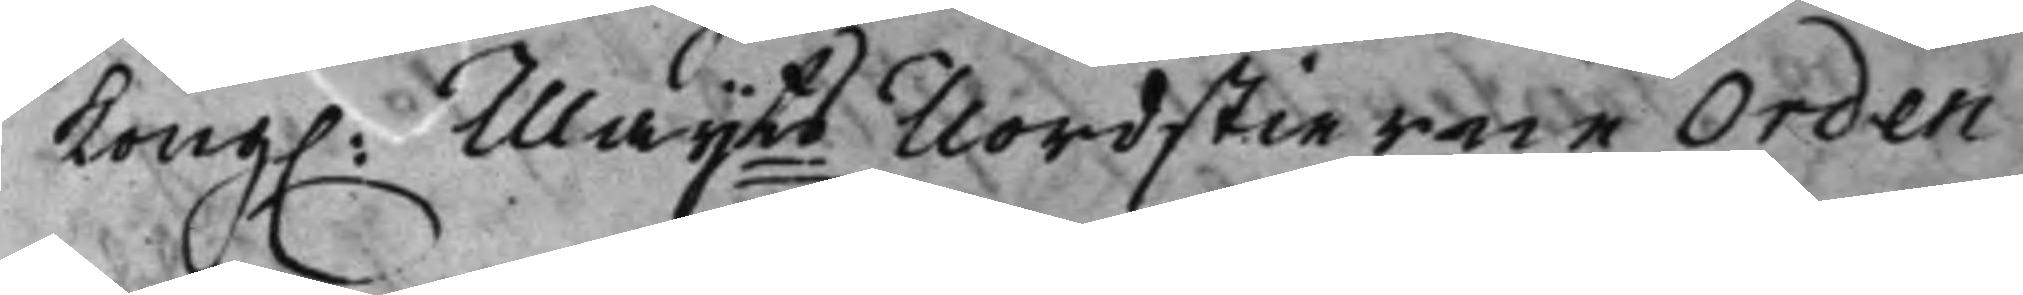Kong. Maijts Nordstierne Orden 
